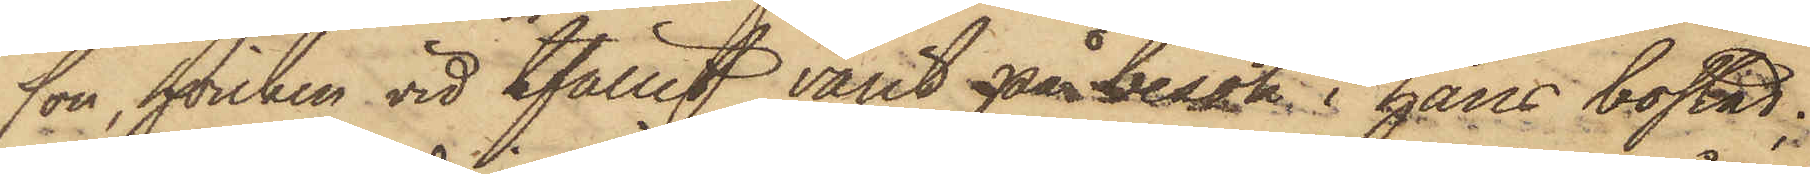son, hvilken vid tfället varit på besök i hans bostad;
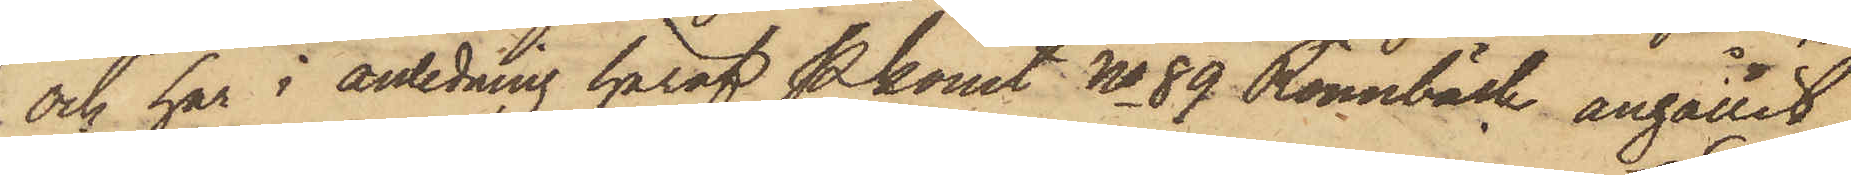och har i anledning häraf Pkonst No 89 Rönnbäck anhållit
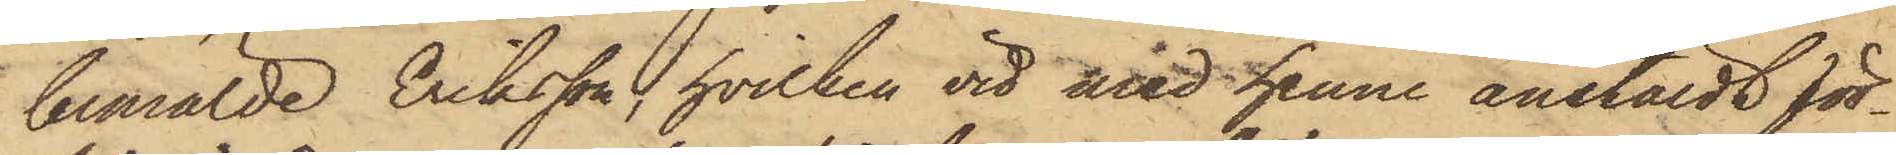bemälde Eriksson, hvilken vid med henne anstäldt för¬
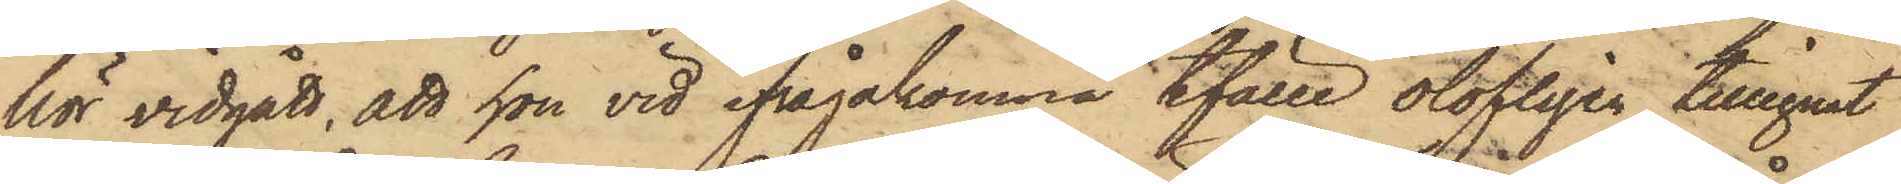hör vidgått, att hon vid ifrågakomne tfälle olofligen tillegnat
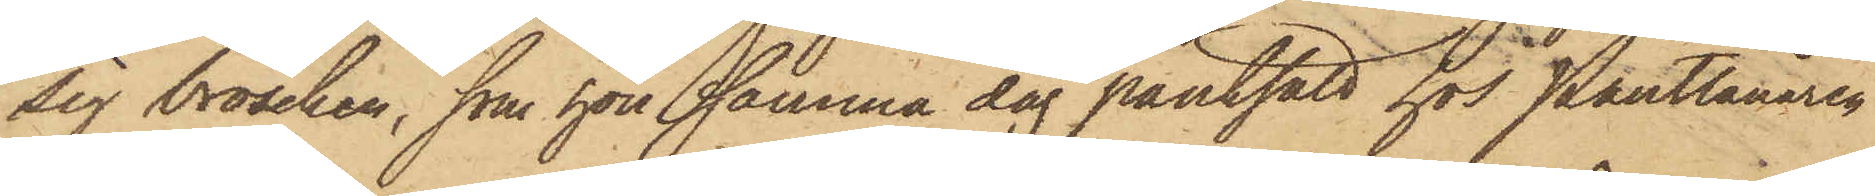sig broschen, som hon samma dag pantsatt hos Pantlånaren
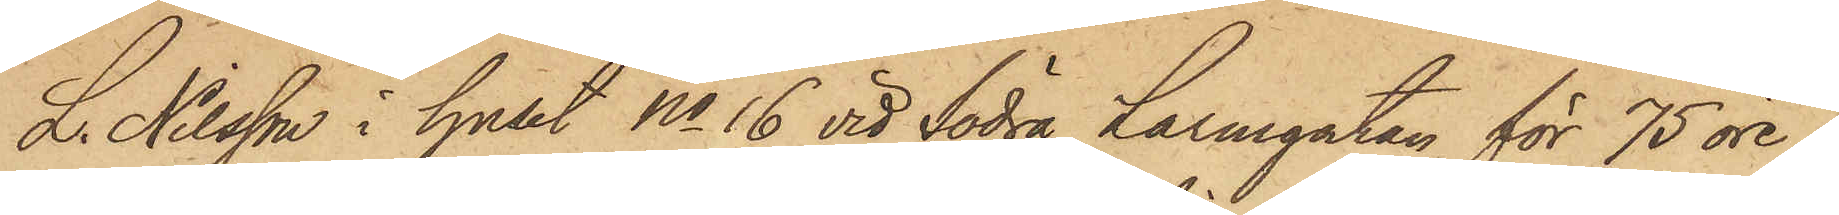L. Nilsson i huset No 16 vid Södra Larmgatan för 75 öre.
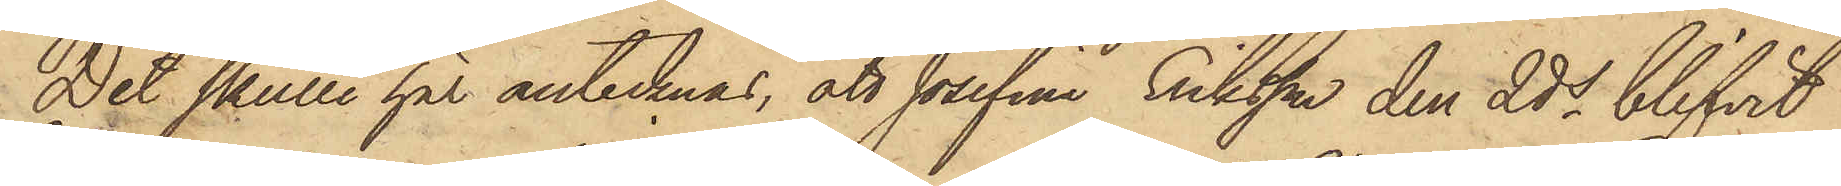Det skulle här antecknas, att Josefina Eriksson den 2 ds blifvit
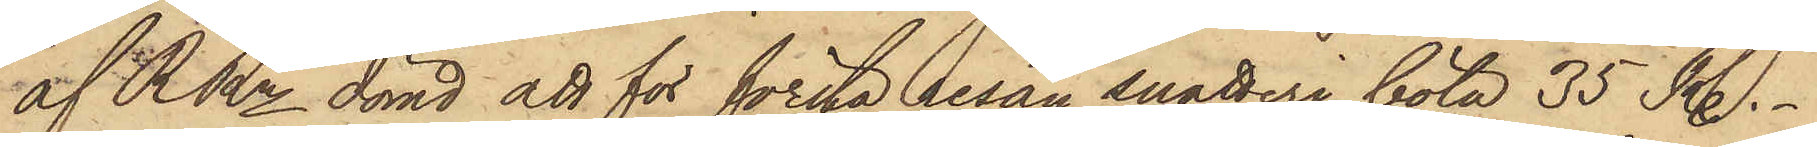af RRn dömd att för första resan snatteri böta 35 R.
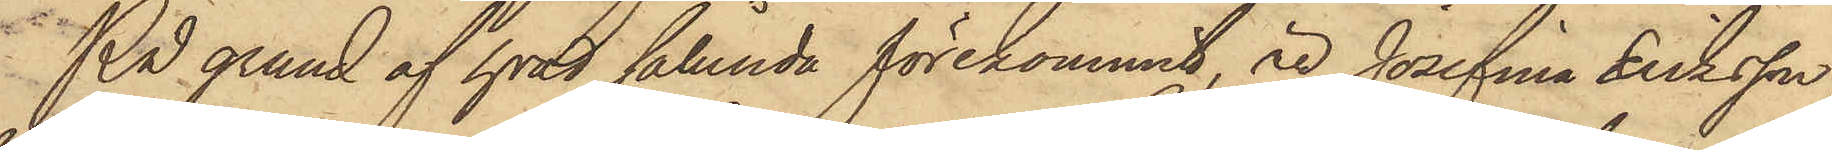På grund af hvad sålunda förekommit, är Josefina Eriksson,
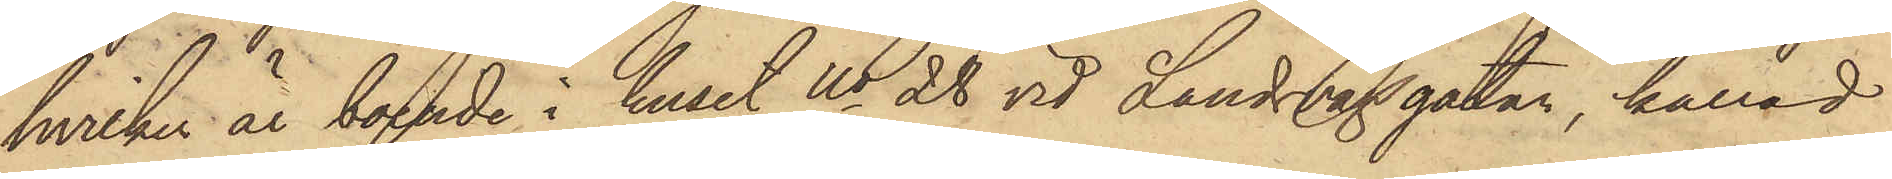hvilken är boende i huset No 28 vid Landsvägsgatan, kallad
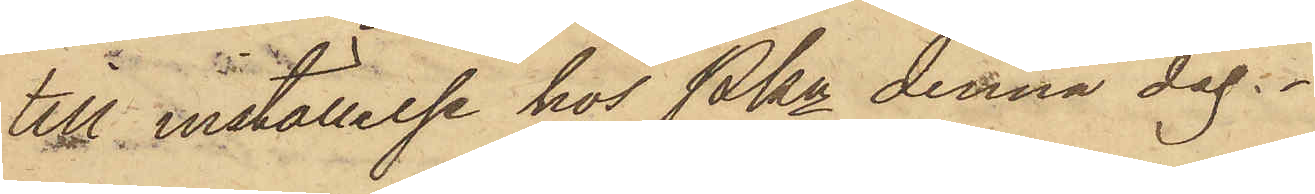till inställelse hos Pkn denna dag.
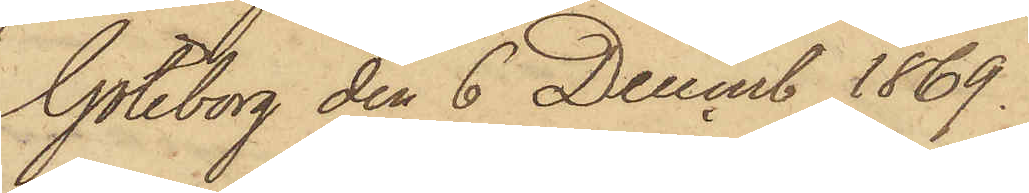Göteborg den 6 Decemb 1869.
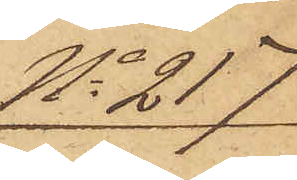No 217
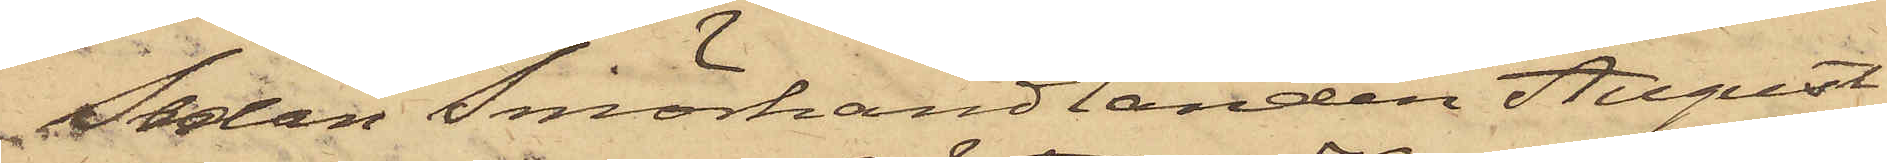Sedan Smörhandlanden August
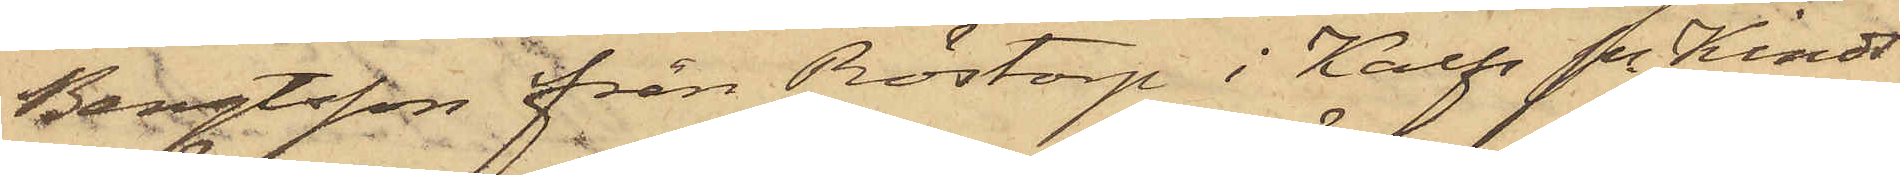Bengtsson från Röstorp i Kalfs Sn Kinds
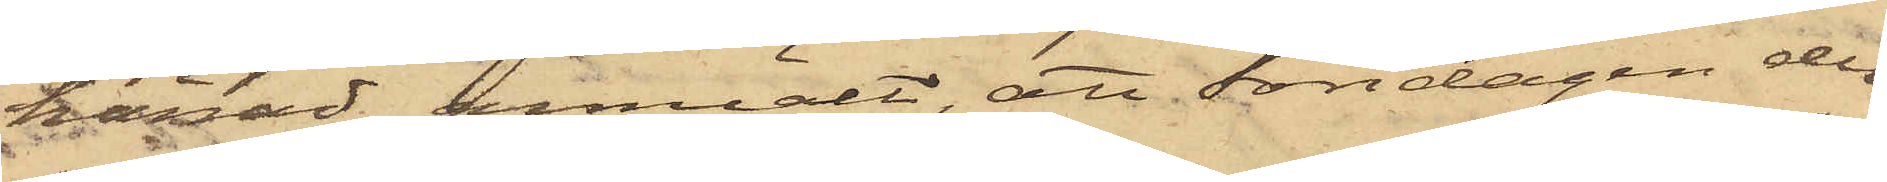härad anmält, att Söndagen den
